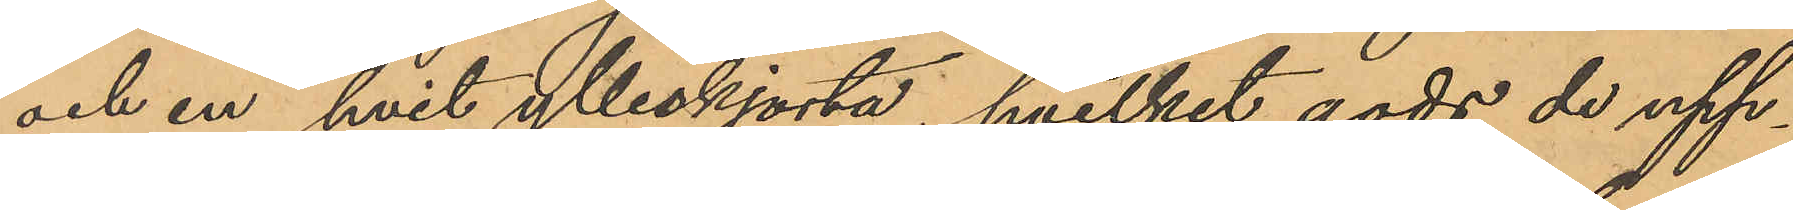och en hvit ylleskjorta, hvilket gods de upp¬
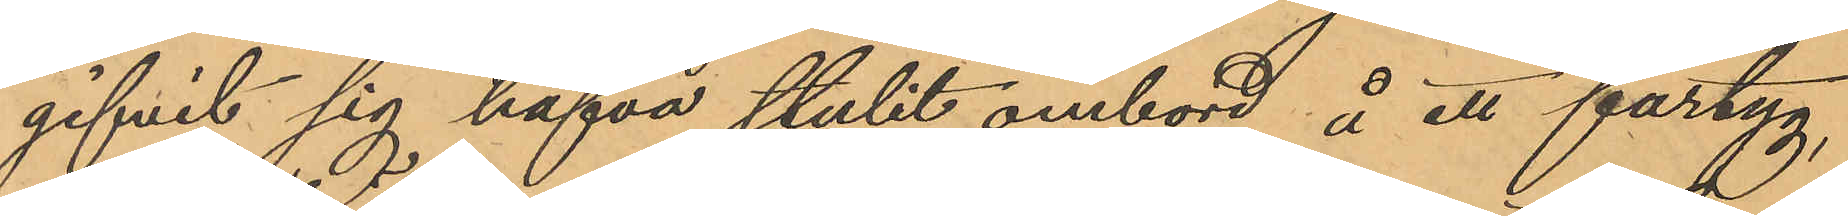gifvit sig hafva stulit ombord å ett fartyg,
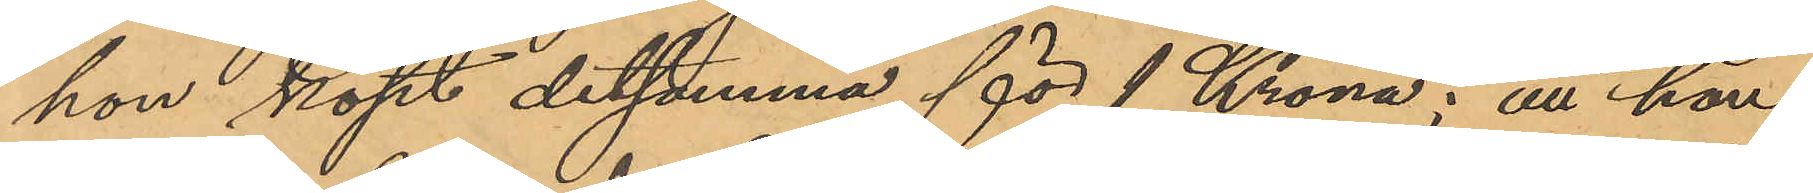hon köpt detsamma för 1 Krona; att hon
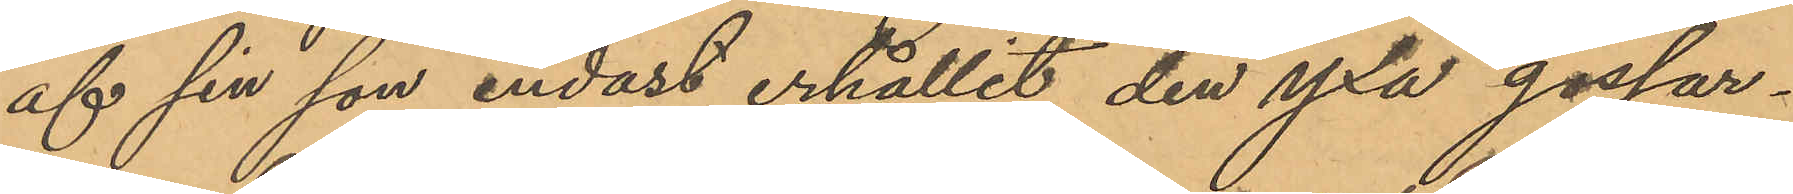af sin son endast erhållit den yxa gossar¬
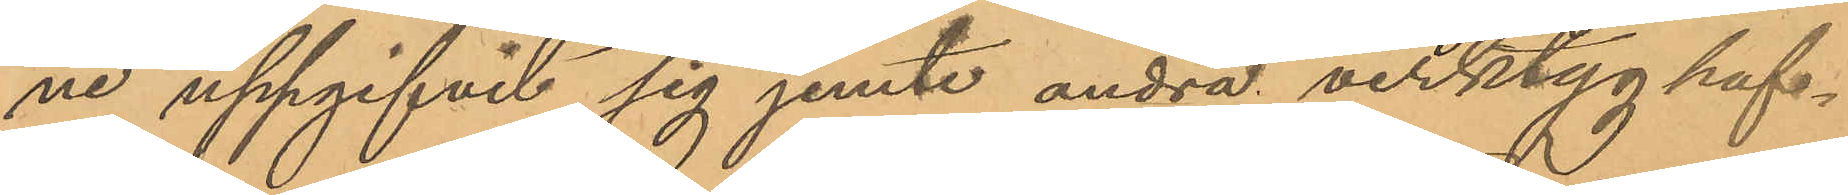ne uppgifvit sig jemte andra verktyg haf¬
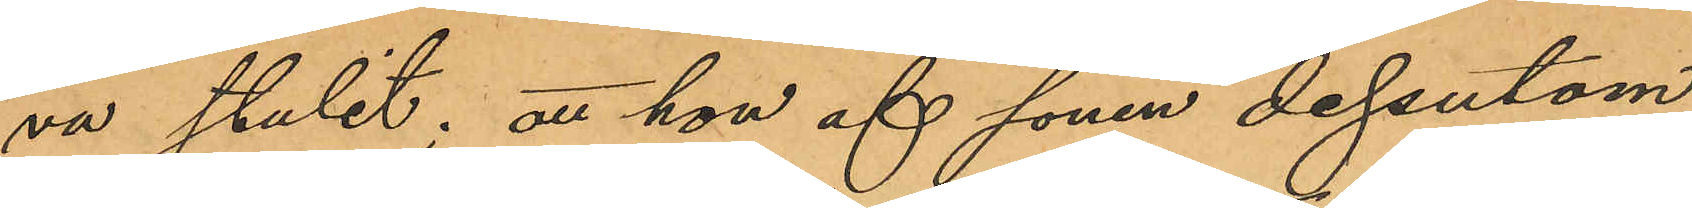va stulit; att hon af sonen dessutom
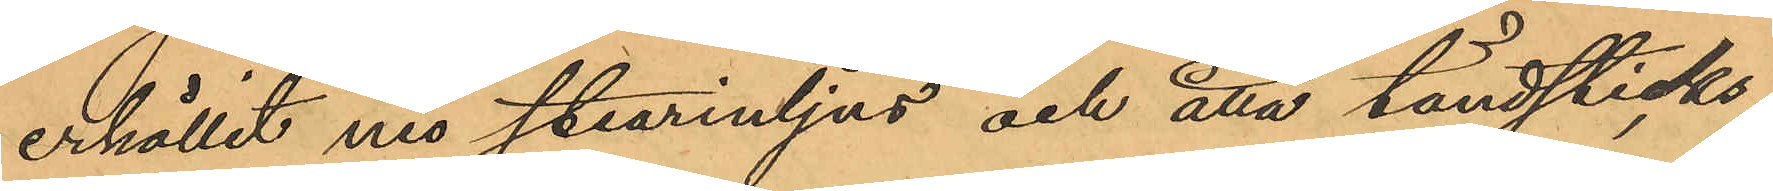erhållit nio stearinljus och åtta tändsticks¬
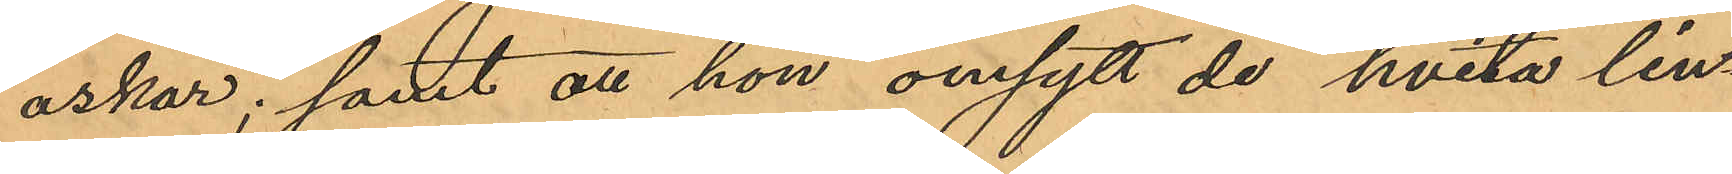askar; samt att hon omsytt de hvita lin¬
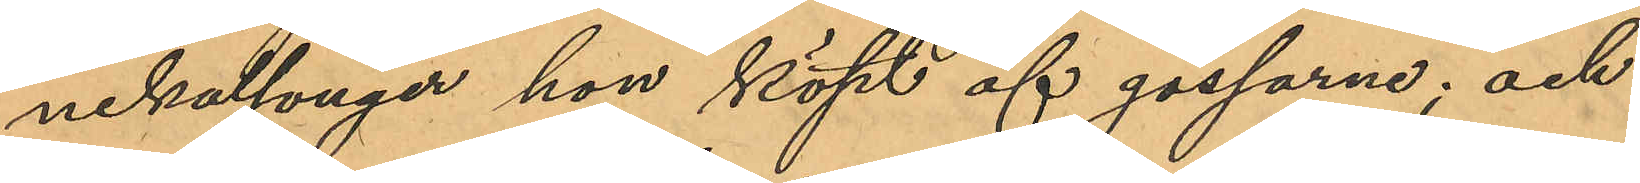nekalsonger hon köpt af gossarne; och
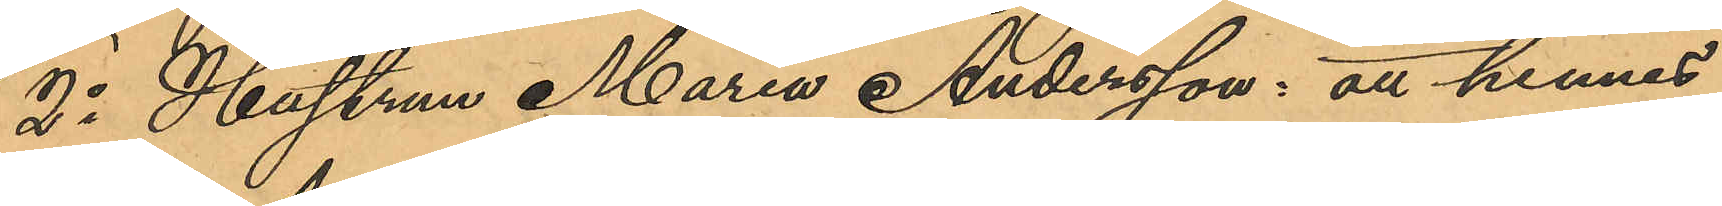2o Hustrun Maria Andersson: att hennes
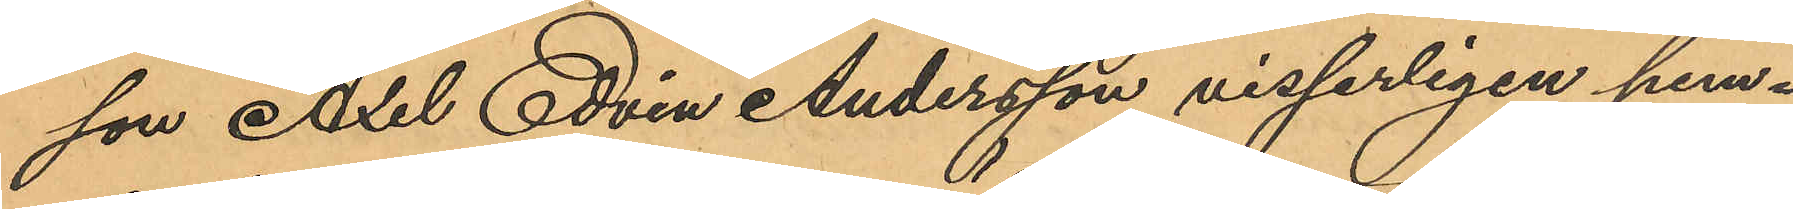son Axel Edvin Andersson visserligen hem¬
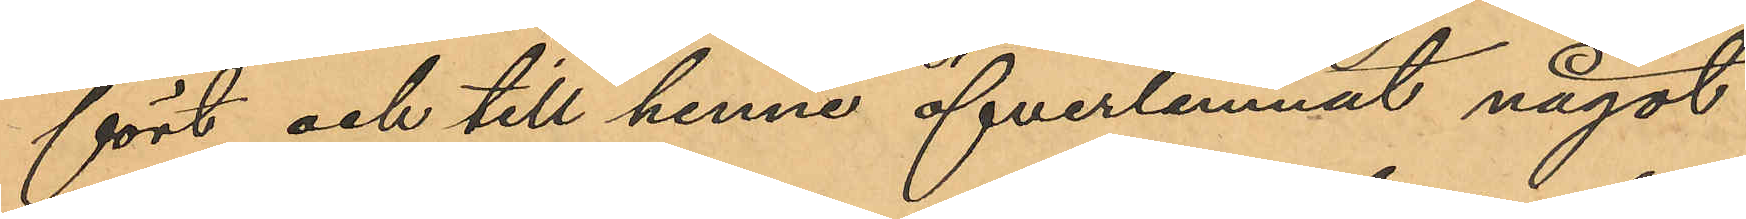fört och till henne öfverlemnat något
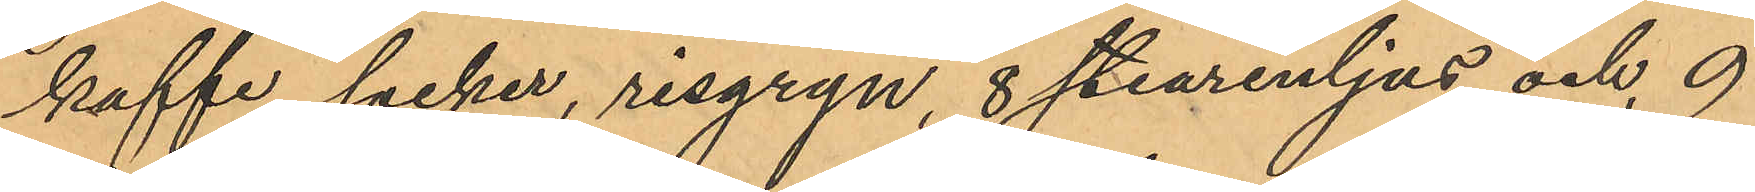kaffe, socker, risgryn, 8 stearenljus och 9
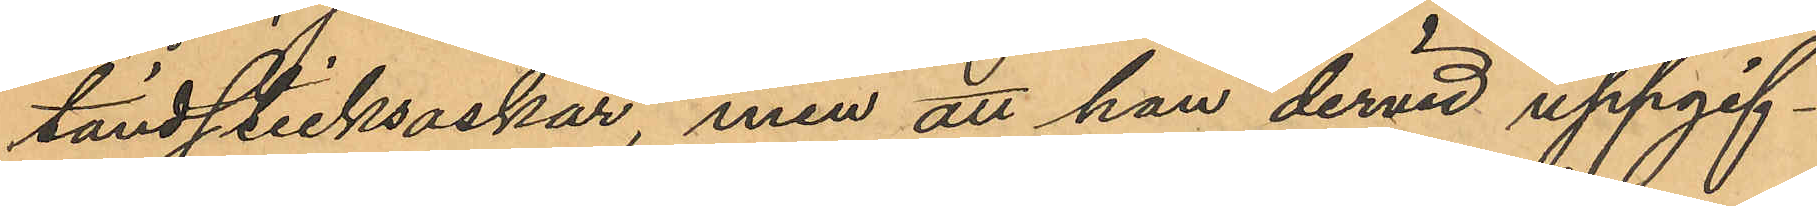tändsticksaskar, men att han dervid uppgif¬
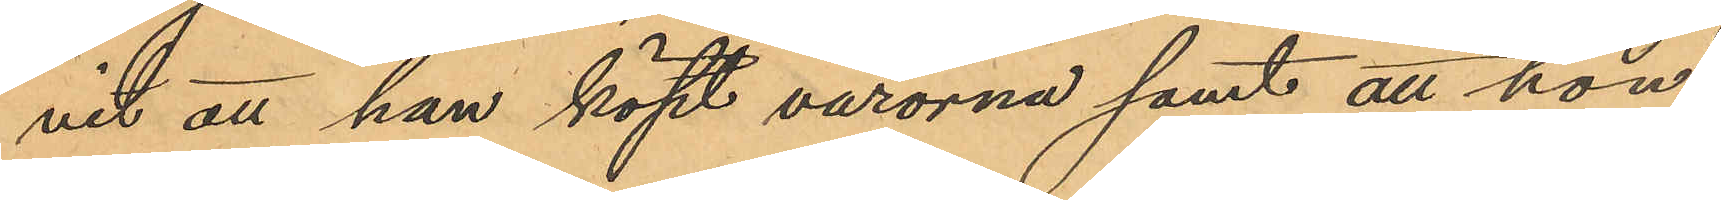vit att han köpt varorna samt att hon
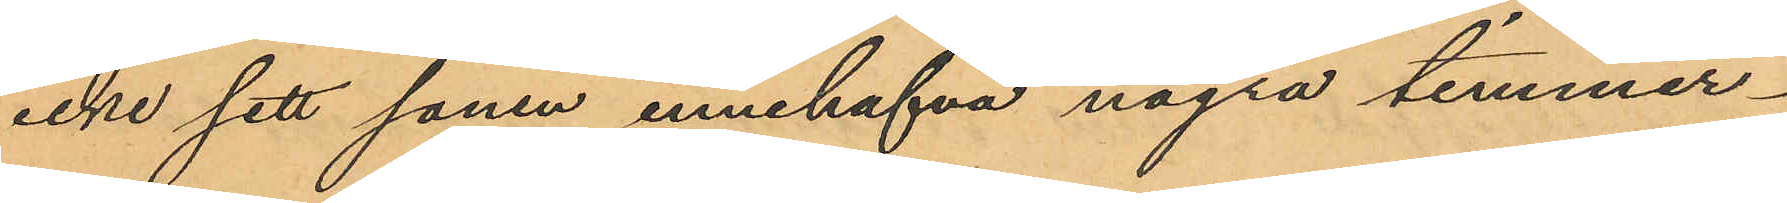icke sett sonen innehafva några timmer¬
